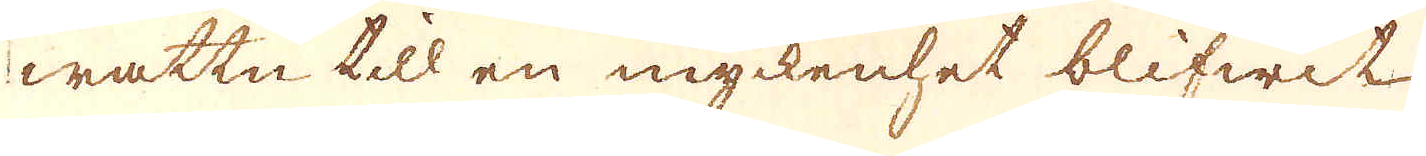wattn till en myckenhet blifwit
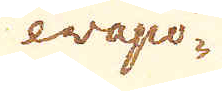evapo-
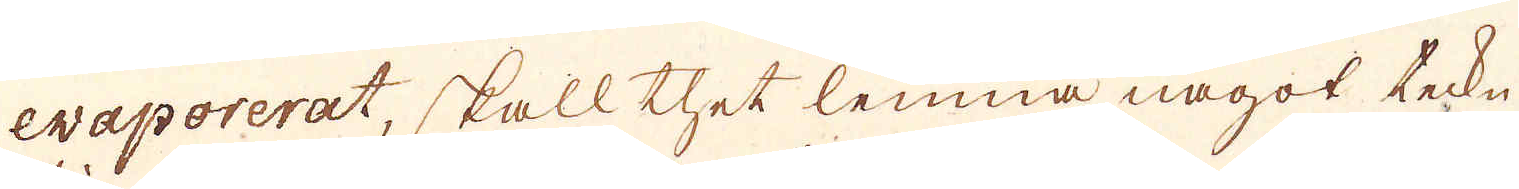evaporerat, skall thet lemna något teckn
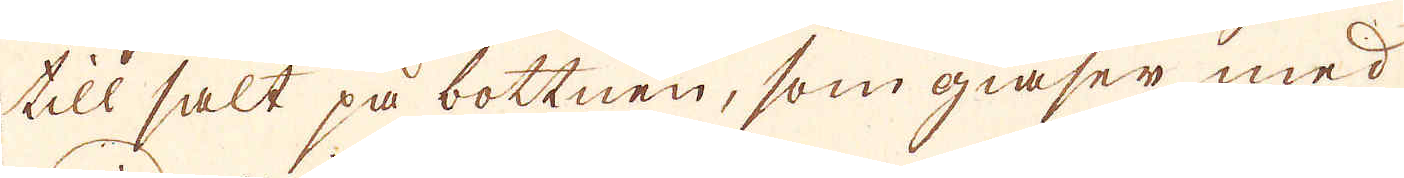till salt på bottnen, som giäser med
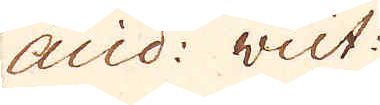acid: vict:
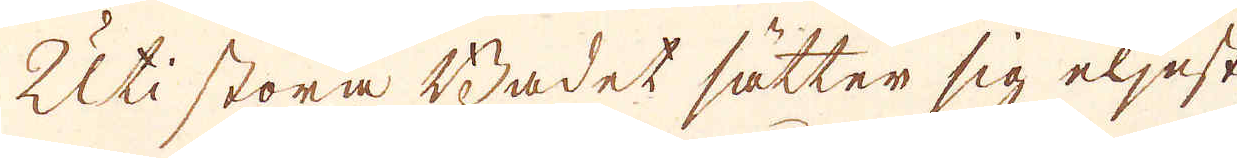Uti stora Badet sätter sig eljest
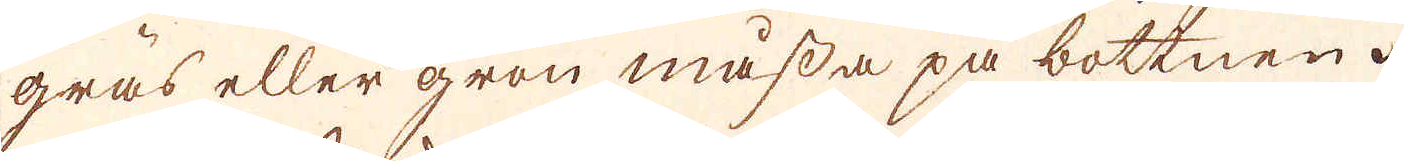gräs eller grön måssa på bottnen.
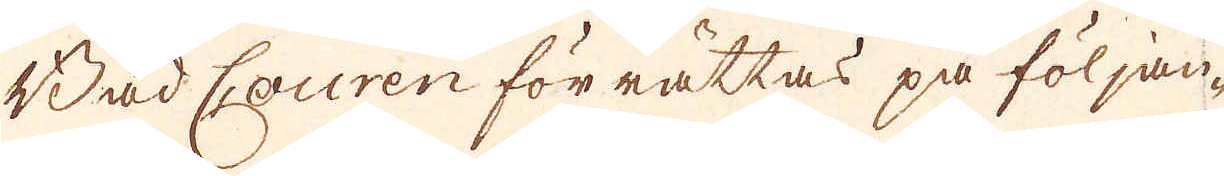Bad Couren förrättas på följan-
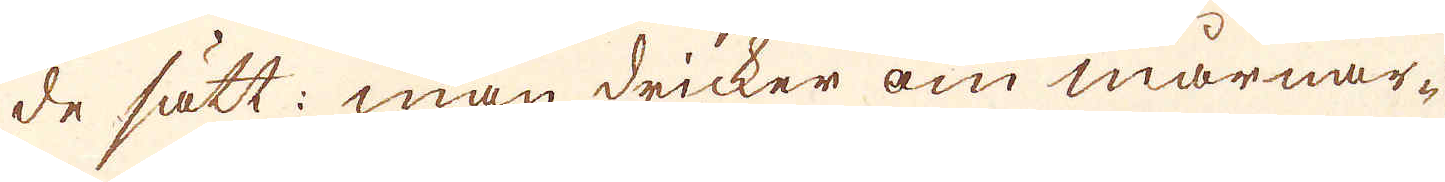de sätt: man dricker om mårnar-
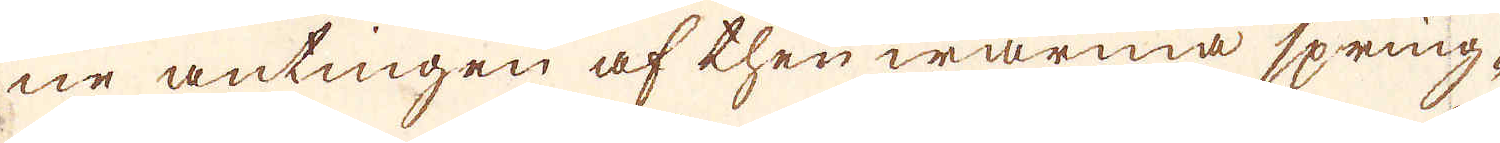ne antingen af then warma spring-
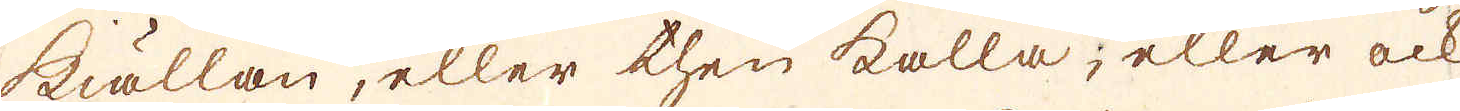kiällan, eller then kalla; eller ock
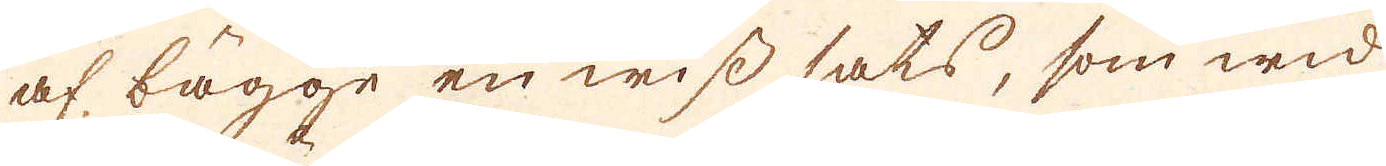af bägge en wiss sats, som wid
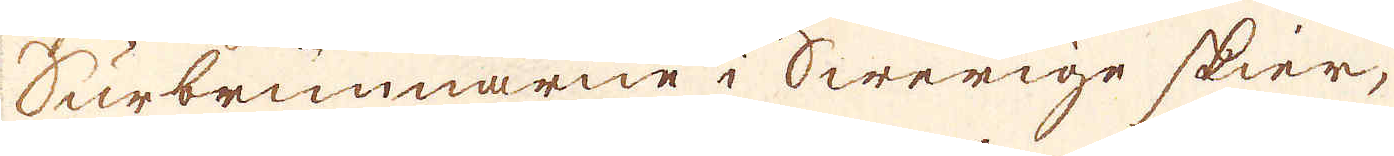Surbrunnarne i Swerige skier,
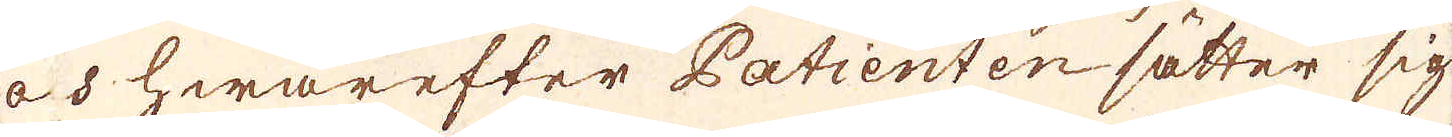och hwarefter Patienten sätter sig
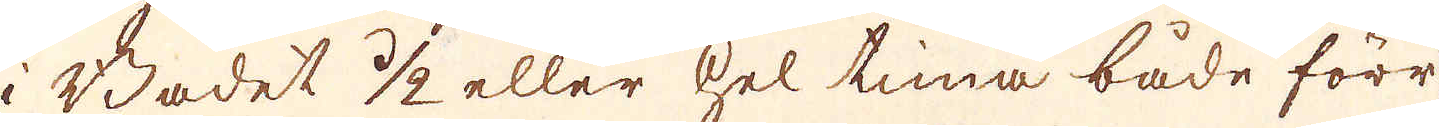i Badet 1/2 eller hel tima både förr
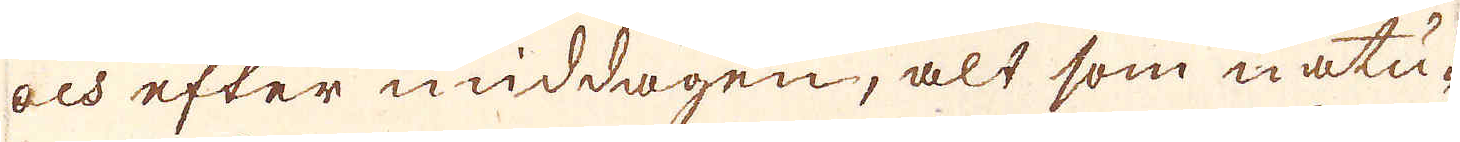och efter middagen, alt som natu-
